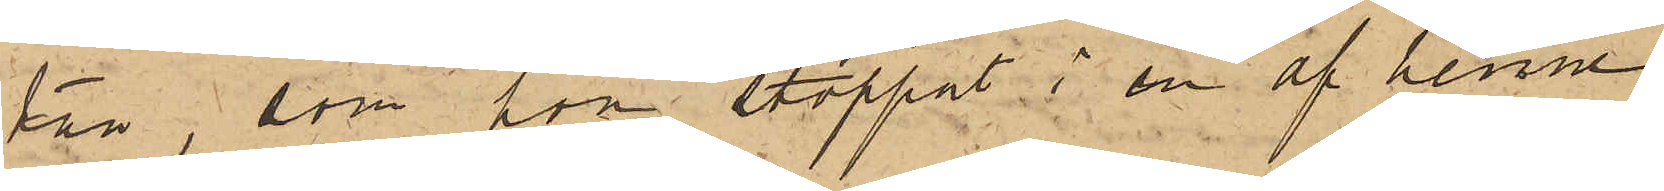tan, som hon stoppat i en af henne
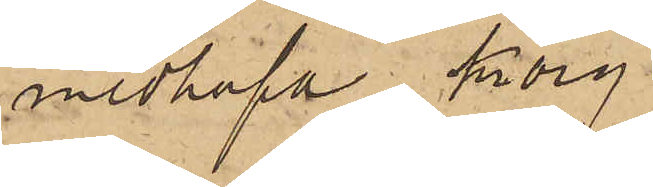medhafd korg.
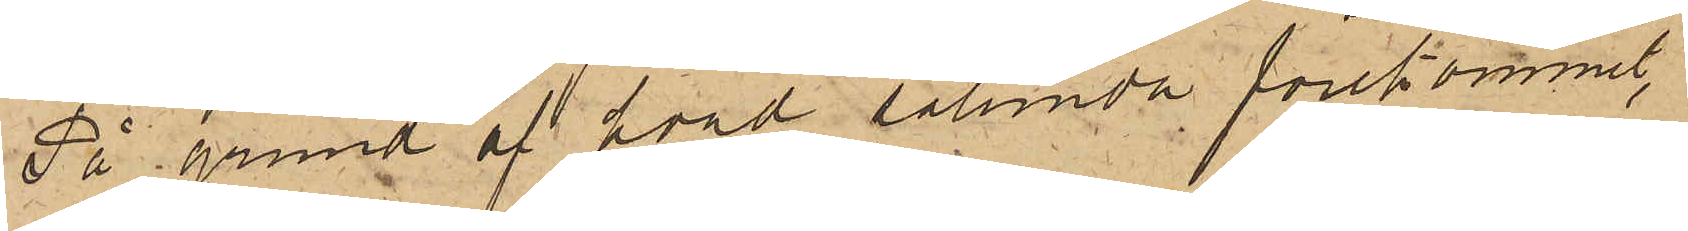På grund af hvad sålunda förekommit,
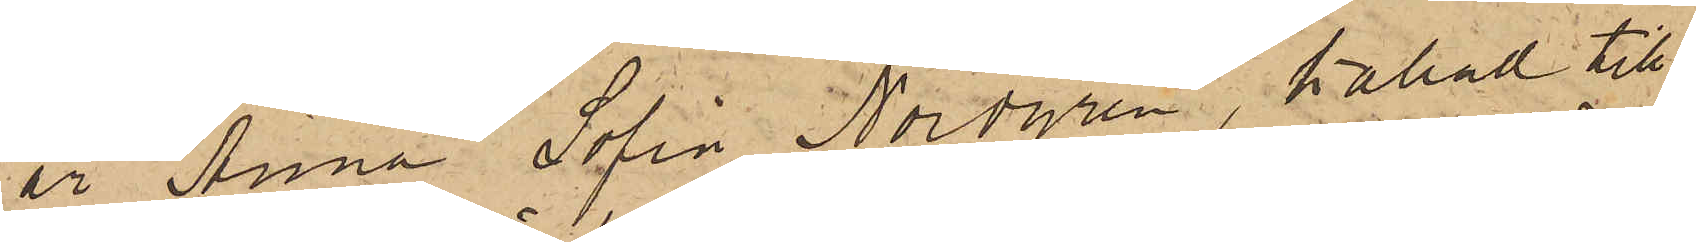är Anna Sofia Nordgren, kallad till
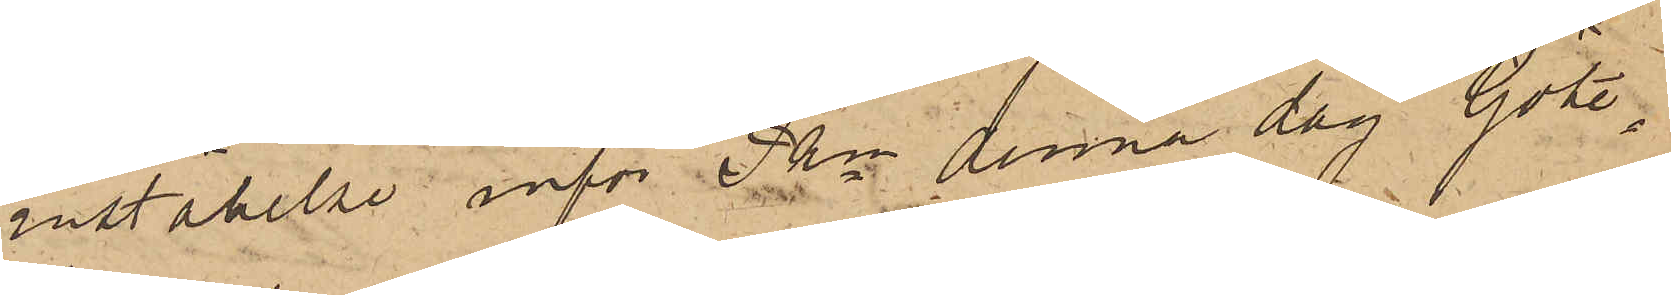inställelse inför Pkn denna dag. Göte¬
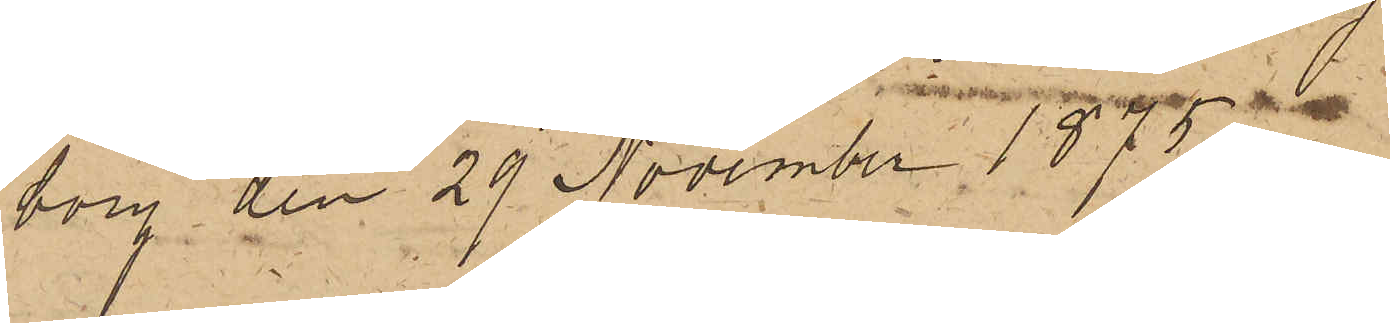borg den 29 November 1875.
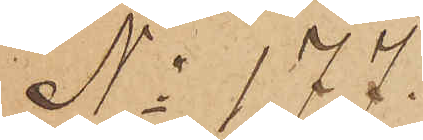No 177.
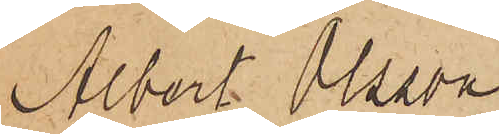Albert Olsson
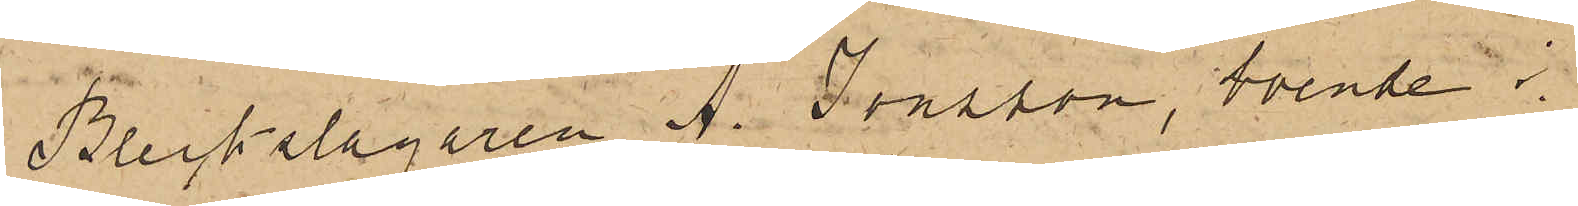Bleckslagaren A. Jonsson, boende i
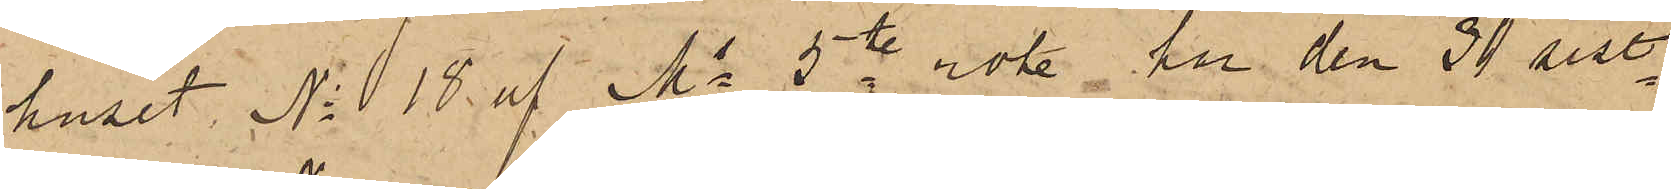huset No 18 af Ms 5te rote, har den 30 sist¬
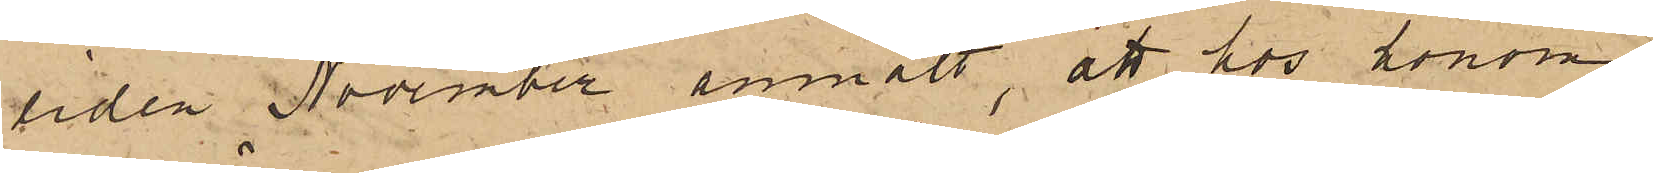tiden November anmält, att hos honom
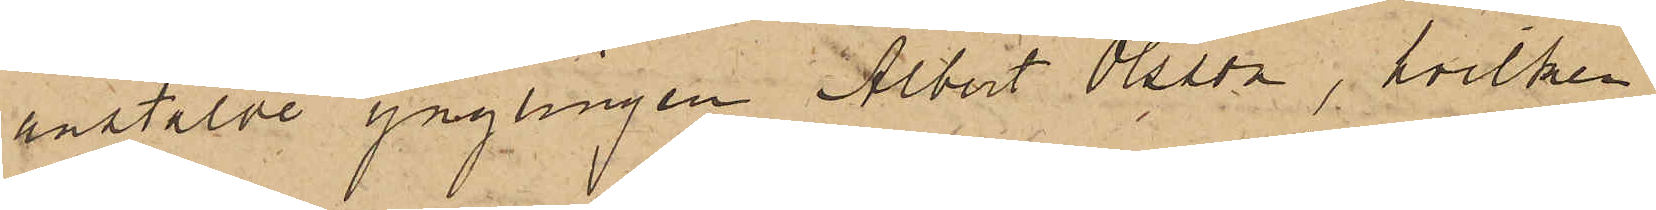anstälde ynglingen Albert Olsson, hvilken
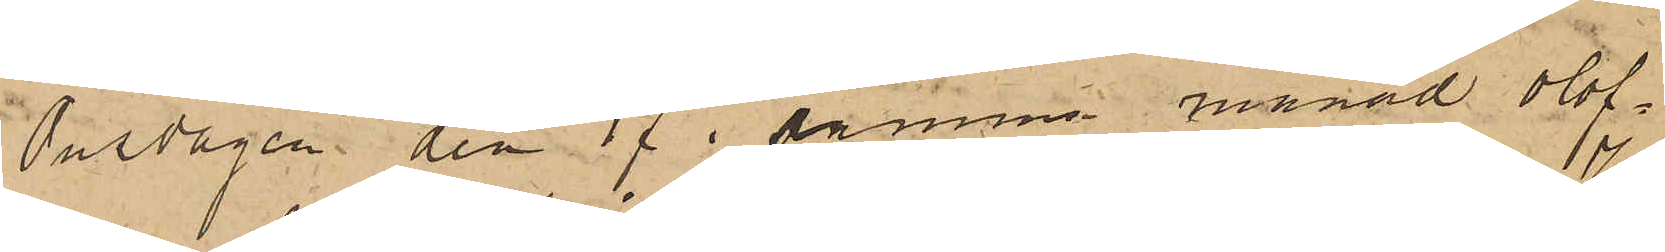Onsdagen den 17 i samma månad olof¬
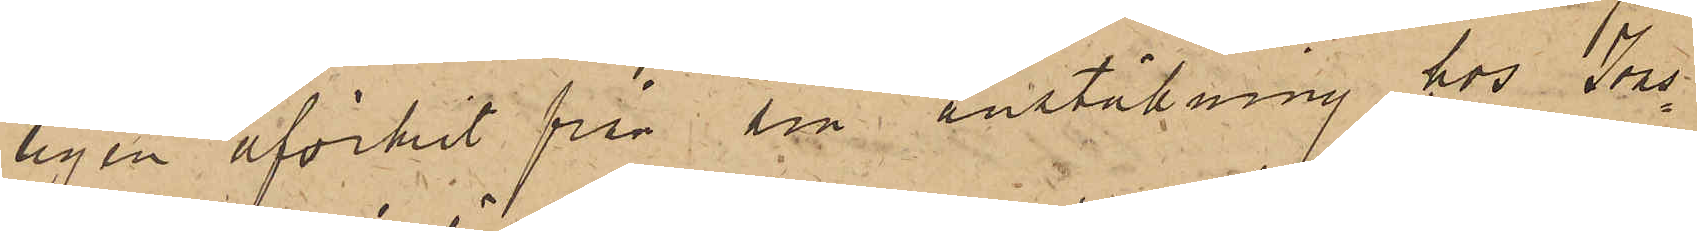ligen afvikit från sin anstälning hos Jons¬
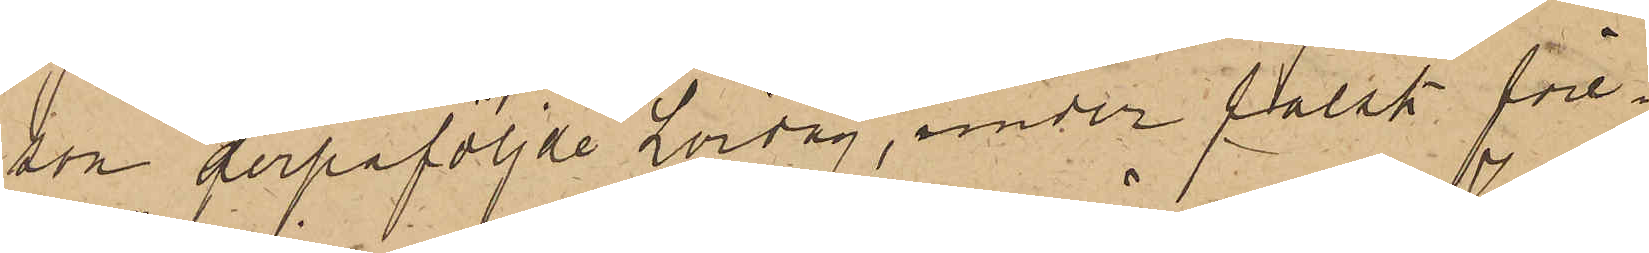son derpåföljde Lördag, under falsk före¬
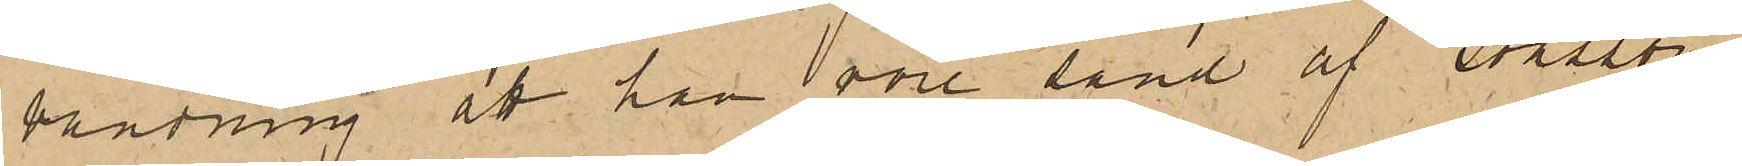vändning att han vore sänd af Jonsson
